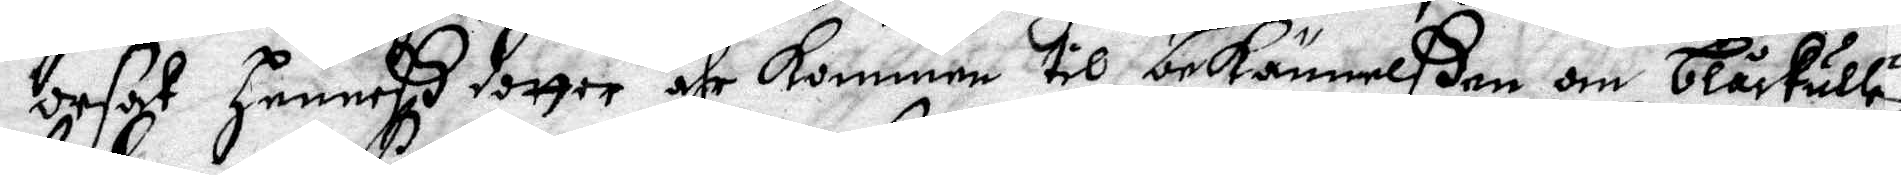orsak Henneß dotter ähr Kommen till bekännelßen om blåkulle¬
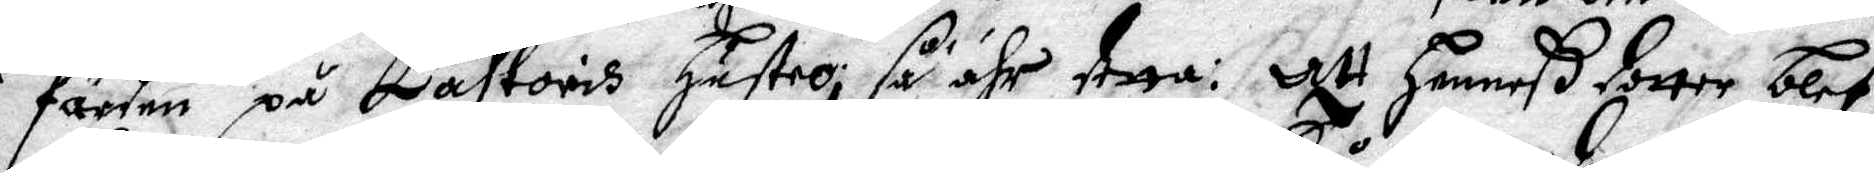färden på Pastoris Hustro, så ähr detta: Att henneß dotter blef
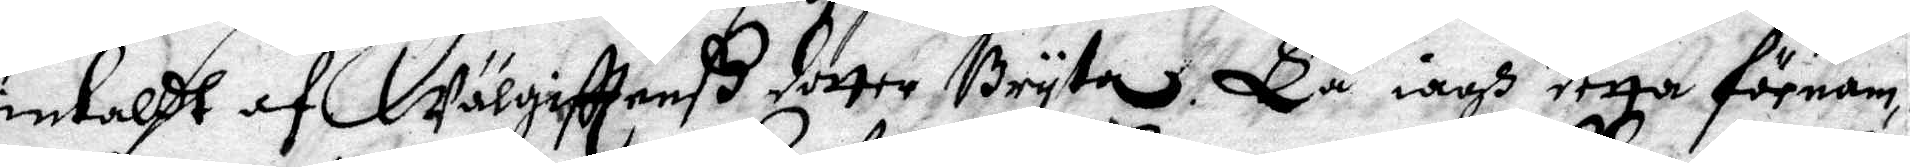intaldt af Wälgifttens dotter Bryta. Tå iagh detta förnam
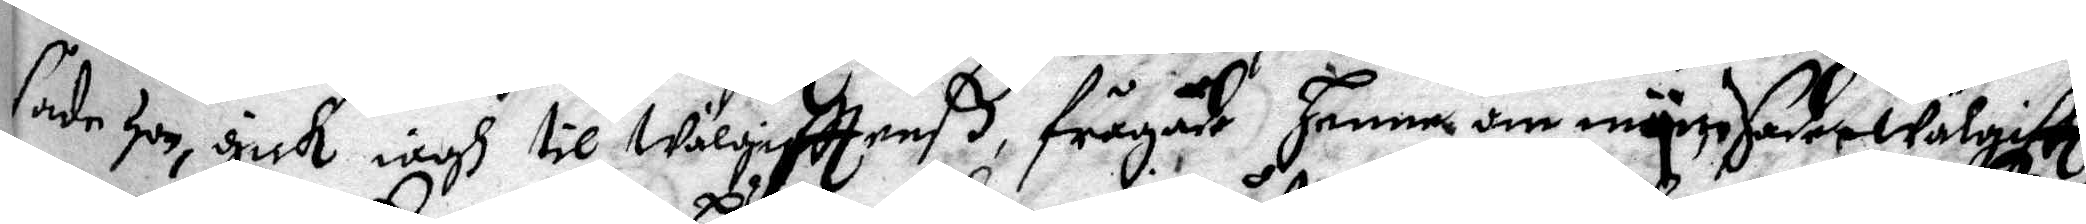sade Hon, gick iagh till Wälgifttenß, frågade Henne om mån, sader Wälgifttz
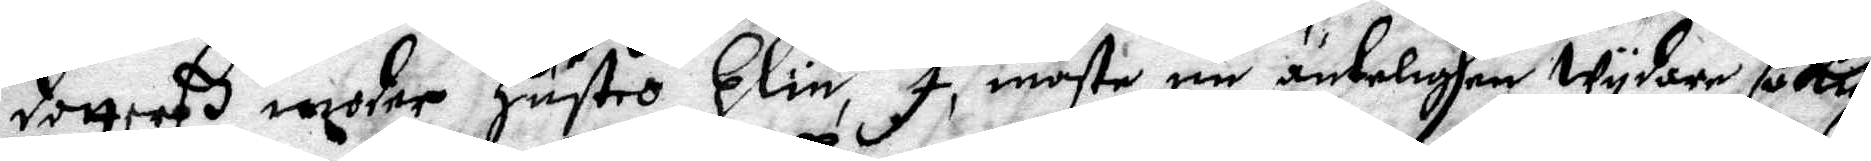dotterß moder Hustro Elin, I, måste nu äntelighen wydare Sökia
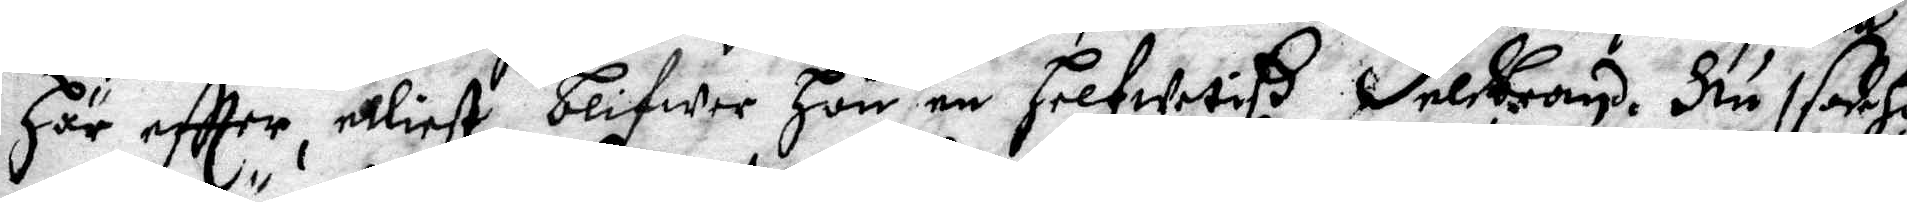Här effter, elliest blifwer Hon en Helfwetiß eldbrand. Nu sade Ho
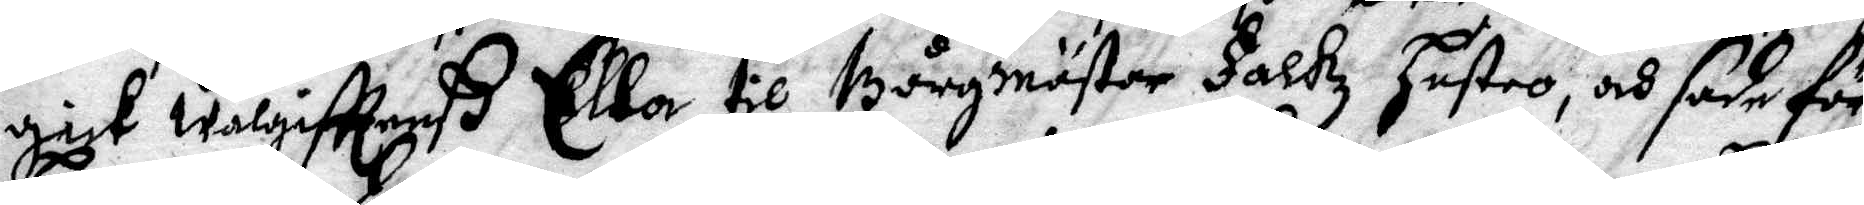gick Wälgifttenß Ella til Bårgmästar Falkz Hustro, och sade för
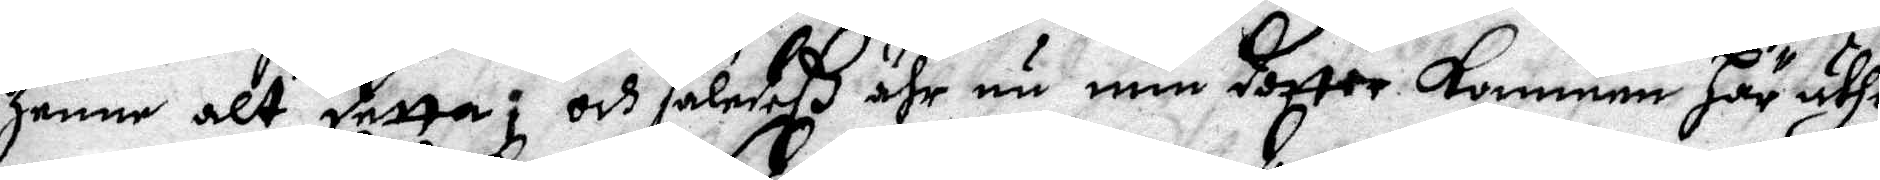Henne alt detta; och såledeß ähr nu min dotter kommen här uthi,
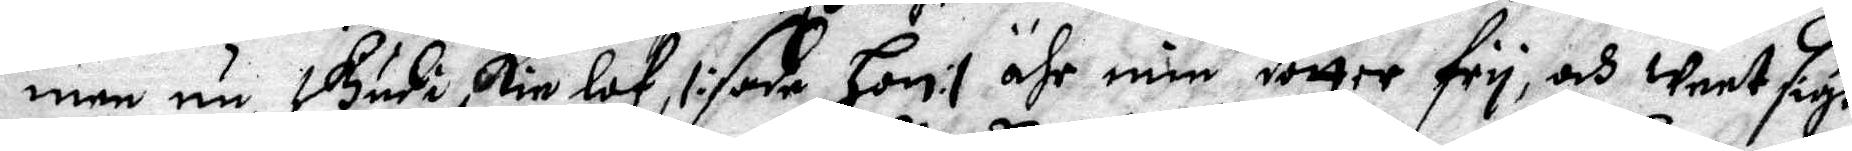men nu, Gudiskie lof, /:sade hon :/ ähr min dotter fry, och weet sigh
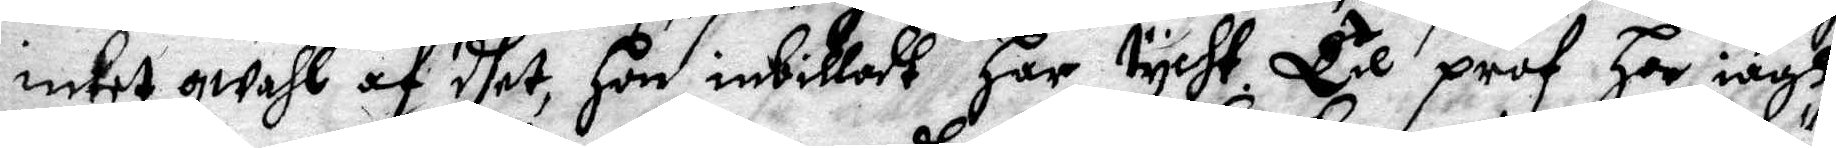intet qwahl af dhet, hon inbilladt Har tycht. Til prof Har iagh
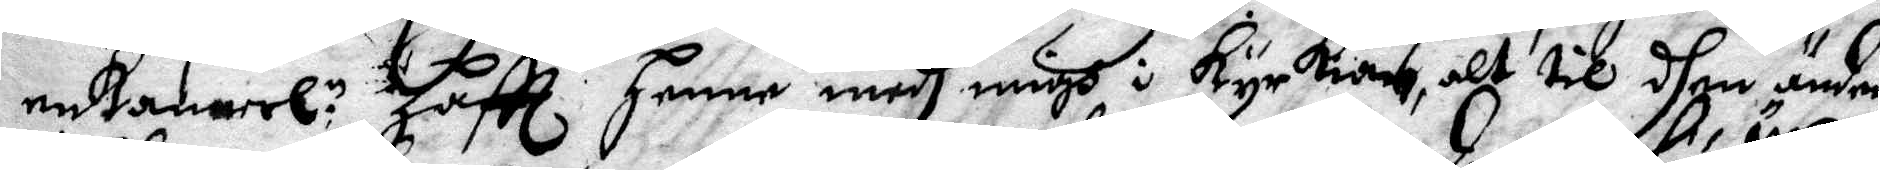enkannerl:n  Hafft Henne medh migh i Kyrkian, alt til dhen, änden,
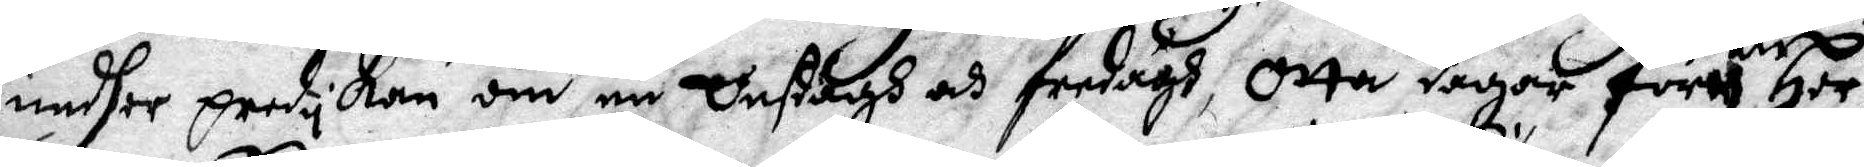undher predykan om en Onstagh och fredagh, Otta dagar för än Her¬
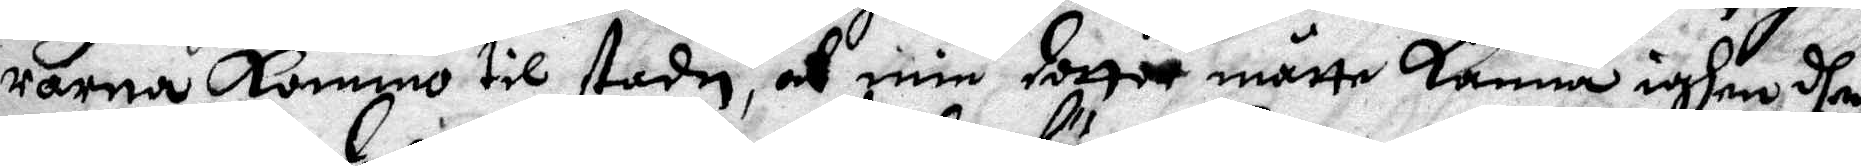rarna Kommo til stadn, och min dottar måtte känna ighen dhen
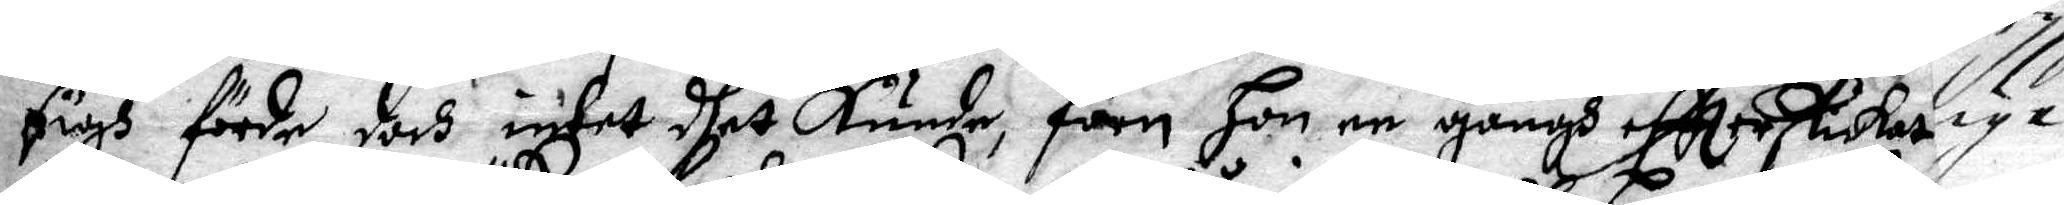sigh förde, doch intet dhet Kunde, förn Hon en gångh effterskickat
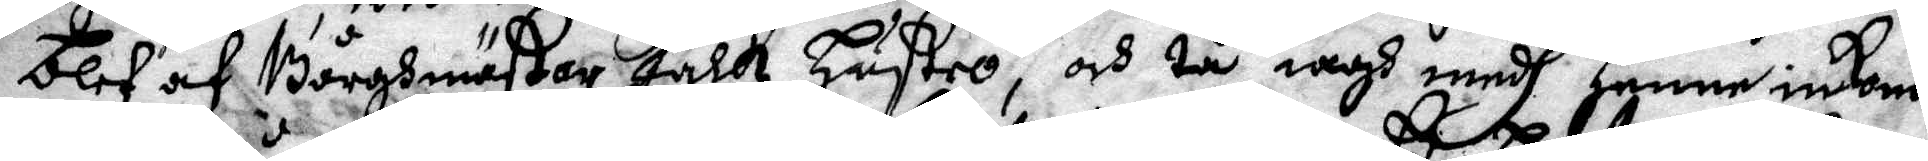Blef af Borghmästar Falkz Hustro, och tå iagh medh henne inkom
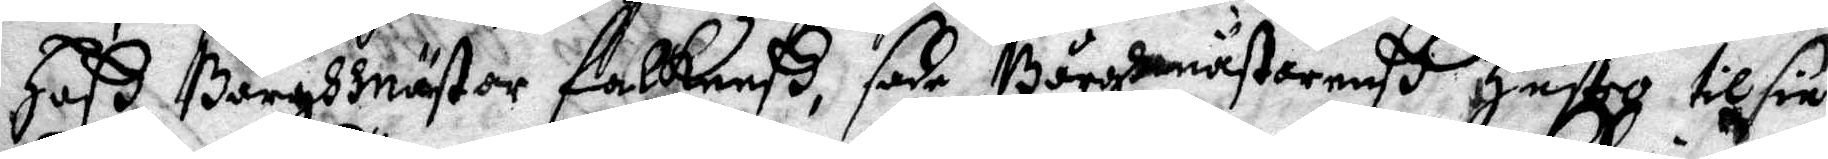Hoß Bårg Mästar Falkenß, sade Borgmästarenß Hustro til sin
